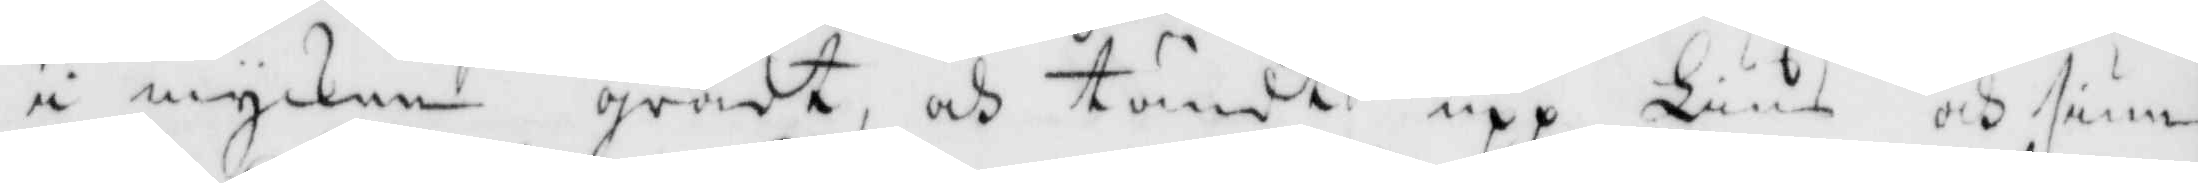i mycken grådt och tändt upp Lius och siun¬
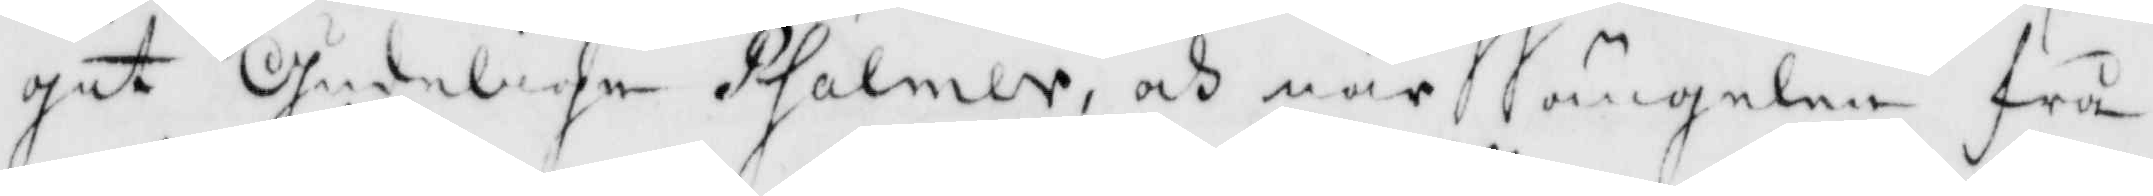git Gudelige Psalmer, och när ängelen frå¬
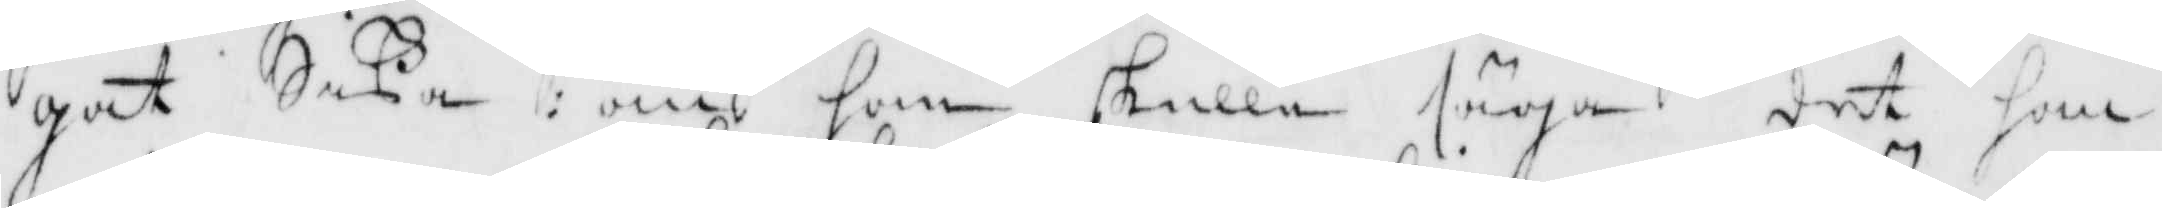gat Sißa om hon skulle säga det han
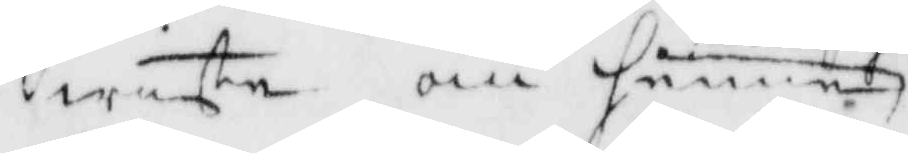wiste om henne
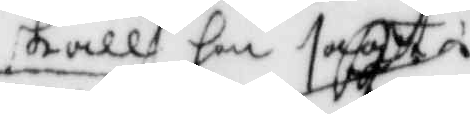skall hon sagt
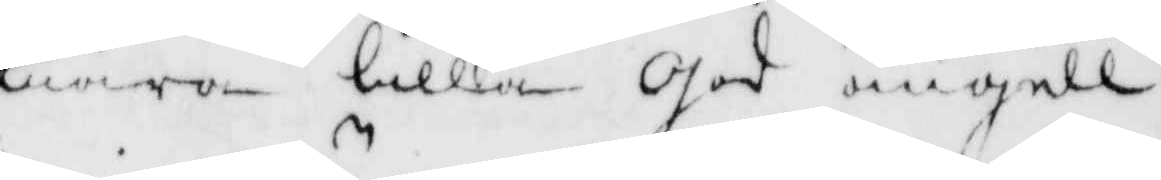wara lilla God ängell
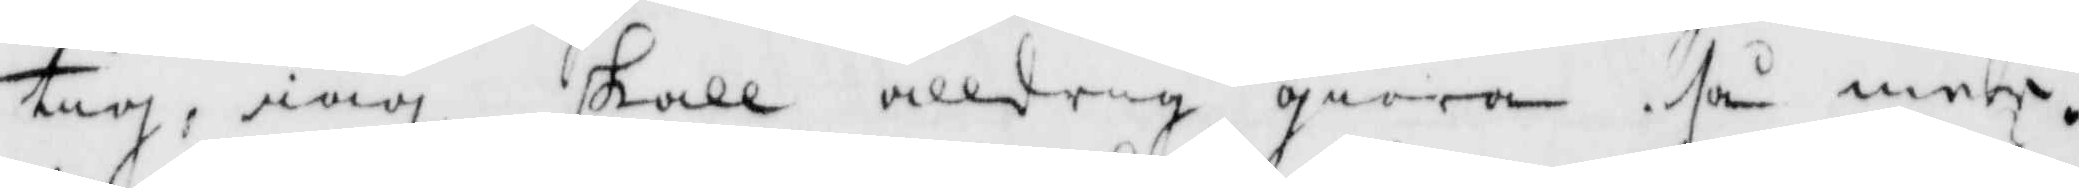tig, iag skall alldrig giöra så mer.
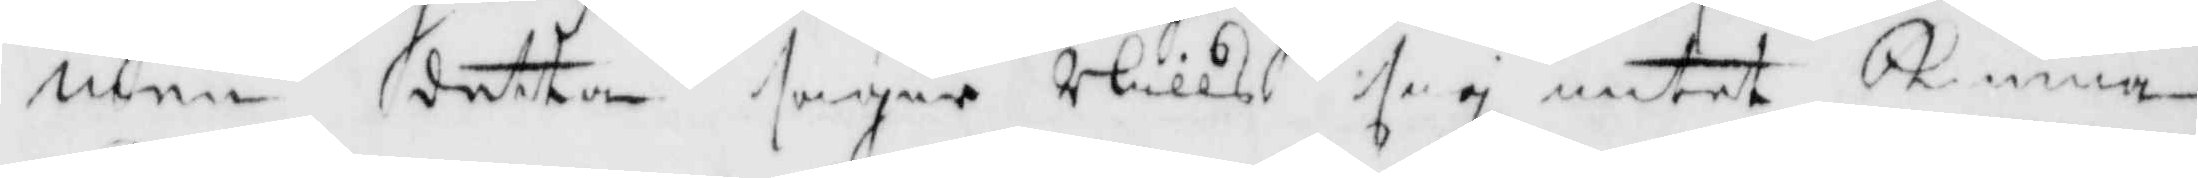men detta säger Nills sig intet Kunna
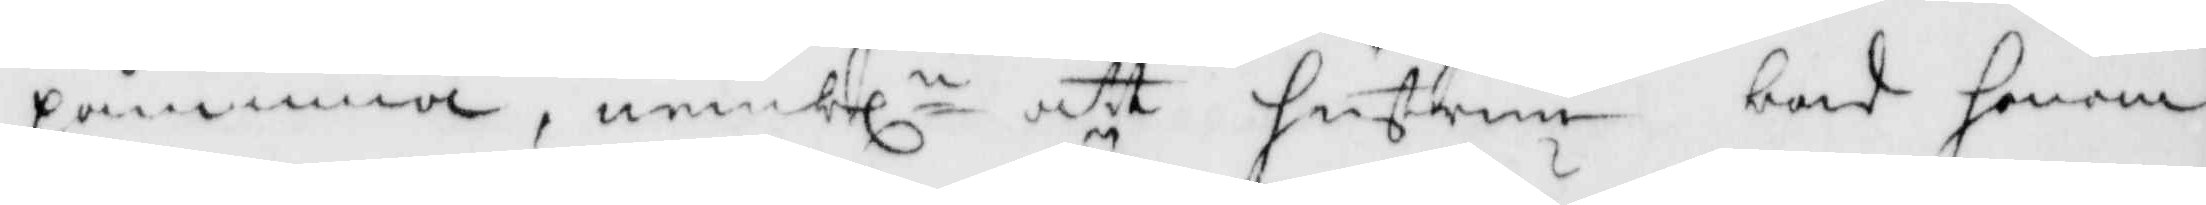påminna, nembln att hustru bad henne
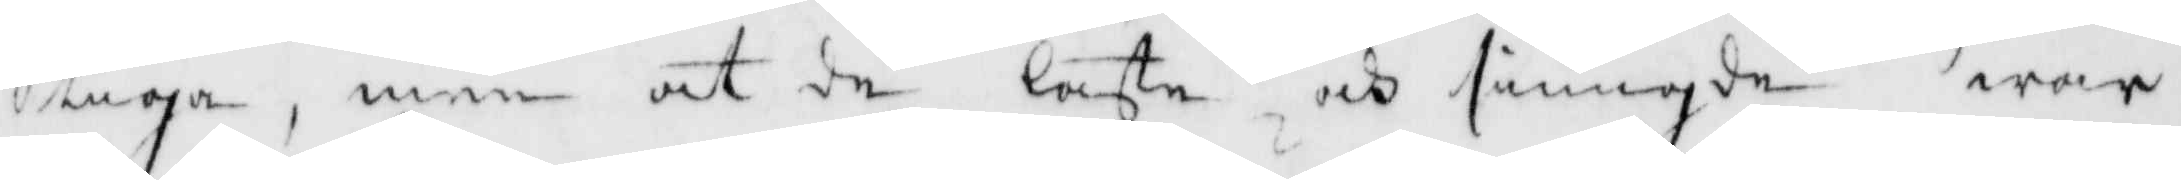tiga, men at de läste och siungde war
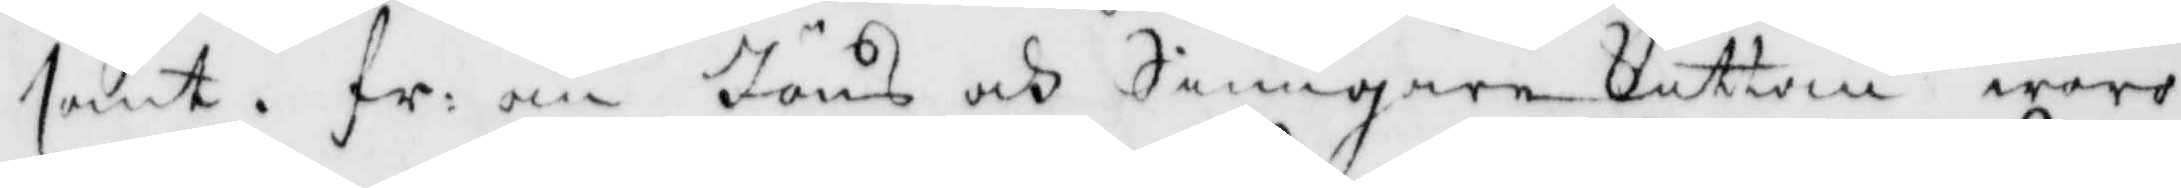sant, fr: om Jöns och Siungarekuttan woro
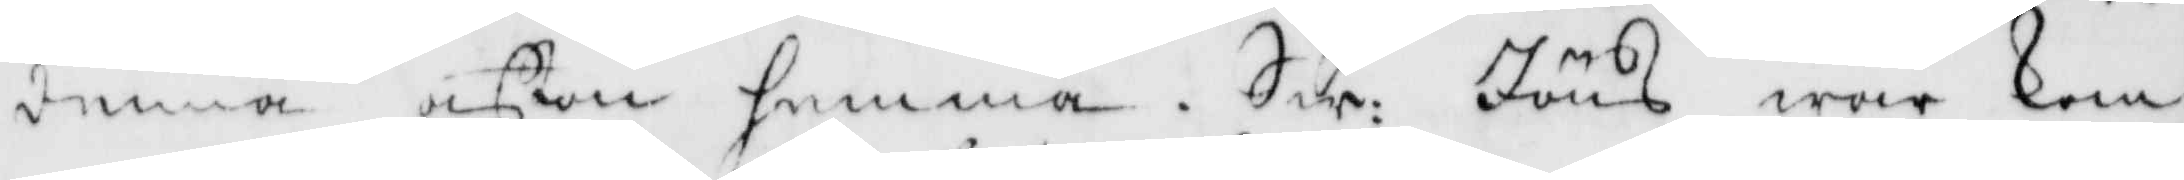denna afton hemma, Sw: Jöns war kom¬
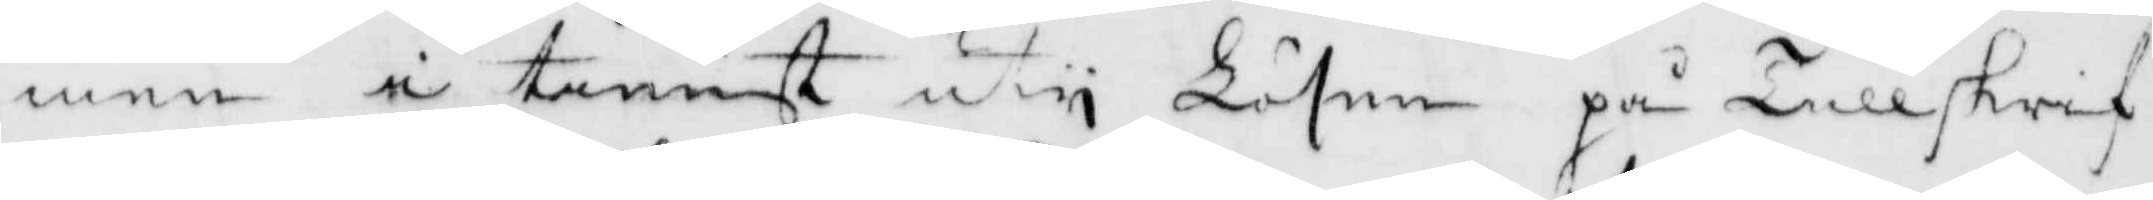men i tienst uty Lösen på Tullskrif¬
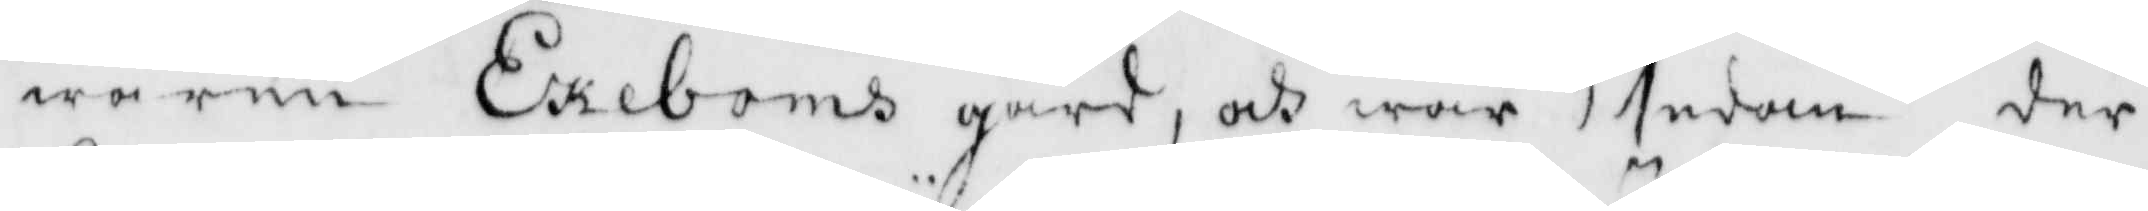waren Ekeboms gård, och war sedan der
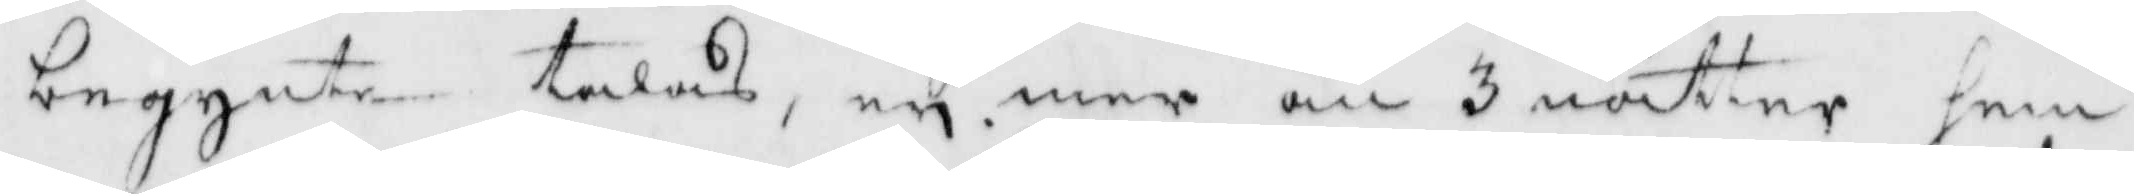begynte talas, ey mer än 3 nätter hem¬
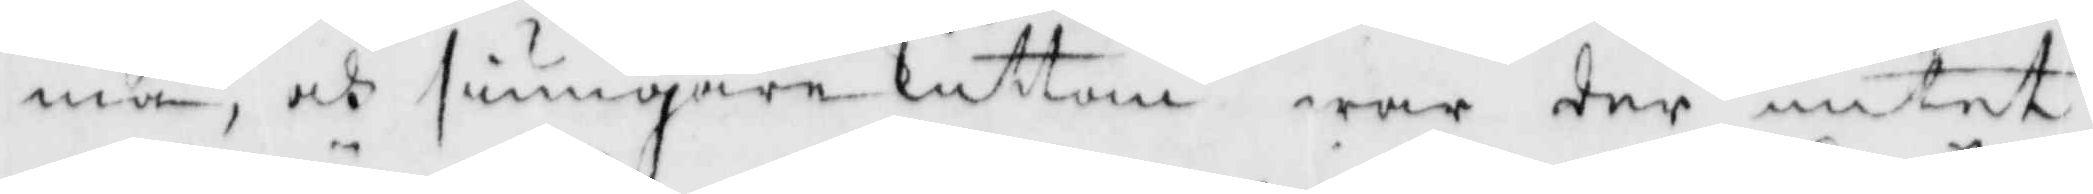ma, och sjungarekuttan war der intet
